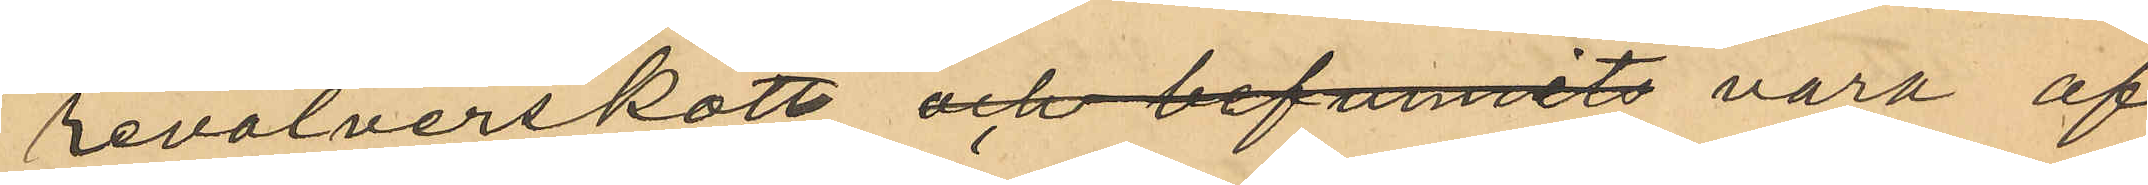revolverskott, och befunnits vara af
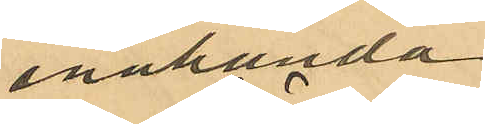enahanda
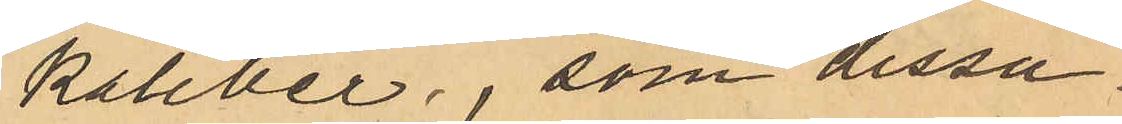kaliber, som dessa
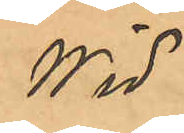wid
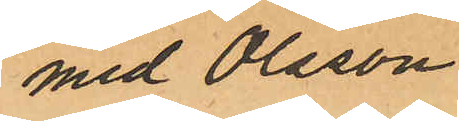med Olsson
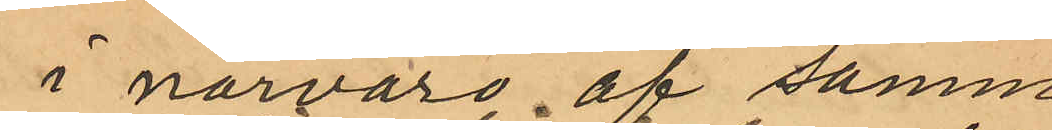i närvaro af samme
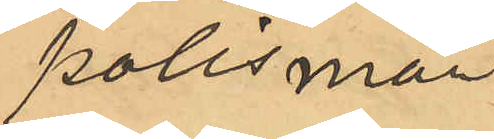polismän 
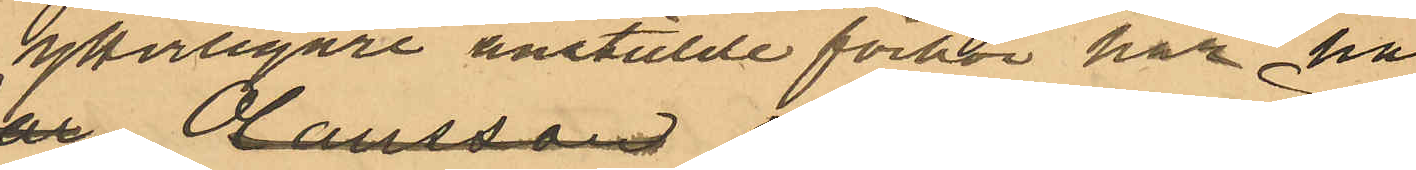ytterligare anstälde förhör har han
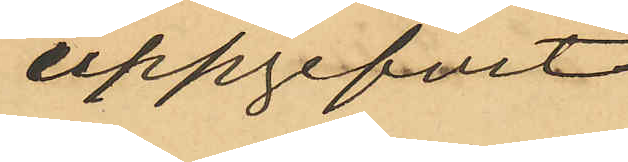uppgifvit
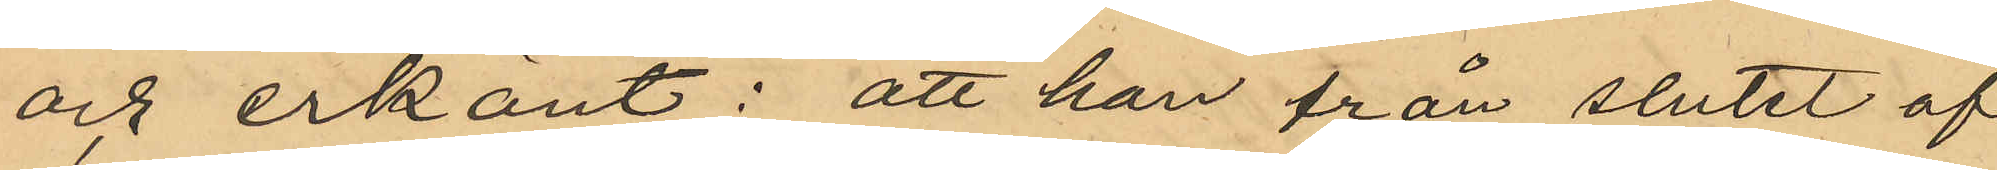och erkänt: att han från slutet af
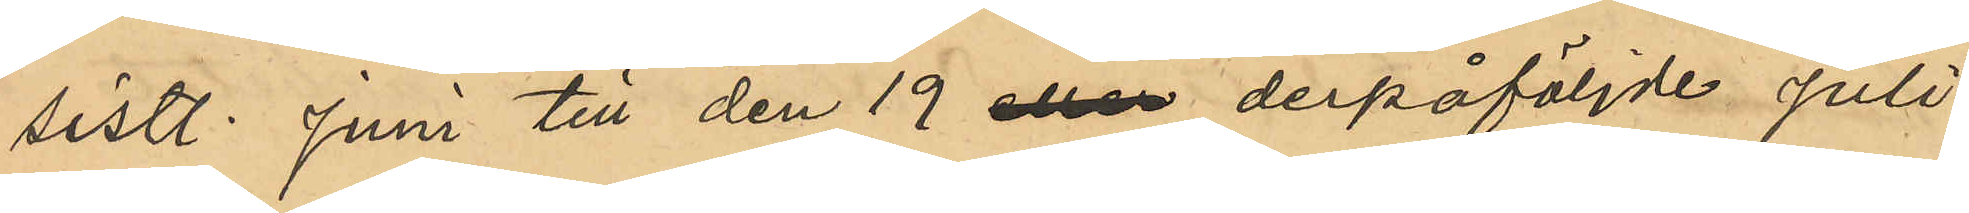sistl. Juni till den 19 eller derpåföljde Juli
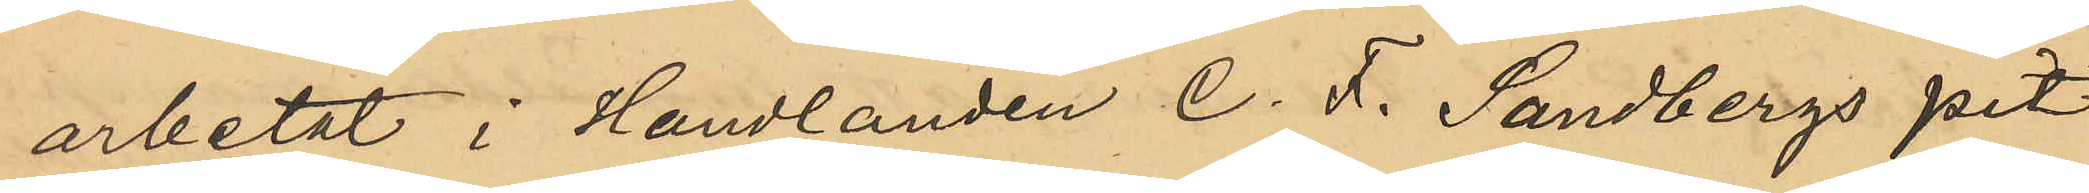arbetat i Handlanden C. F. Sandbergs pit¬
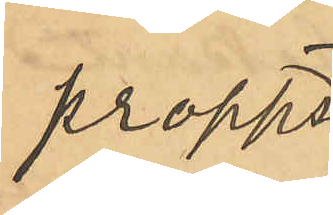propps¬
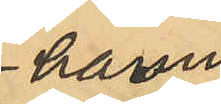hamn
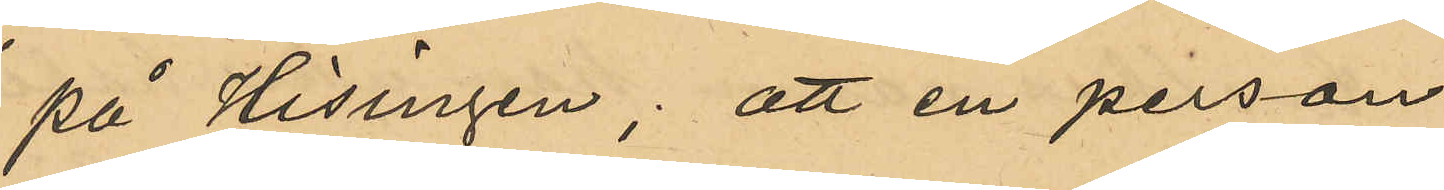på Hisingen, att en person
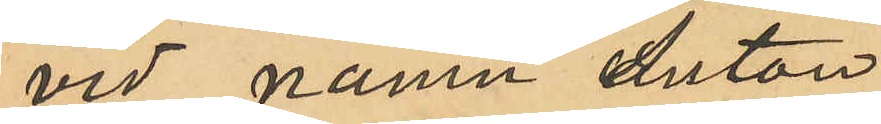vid namn Anton
